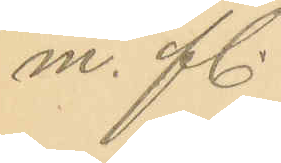m. fl.
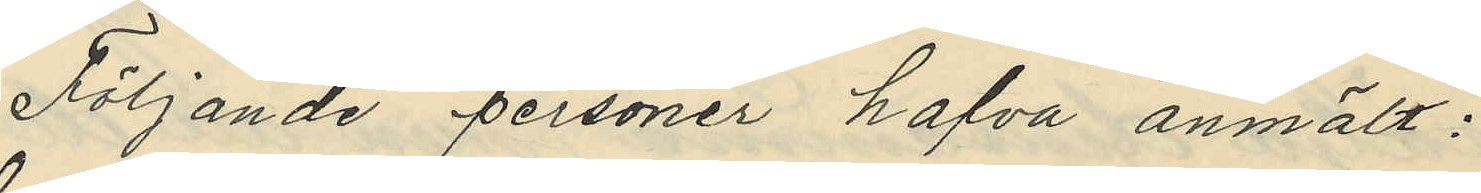Följande personer hafva anmält:
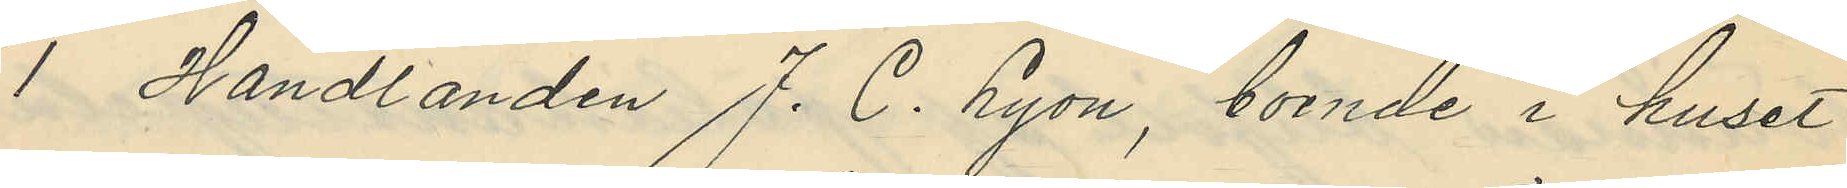1 Handlanden J. C. Lyon, boende i huset
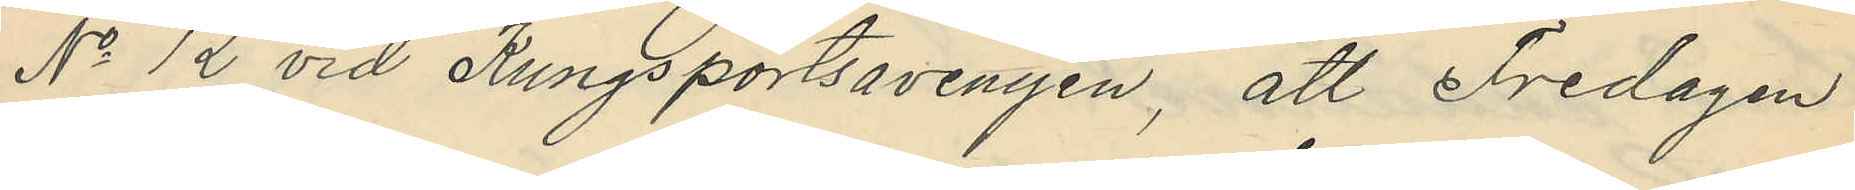No 12 vid Kungsportsavenyen, att Fredagen
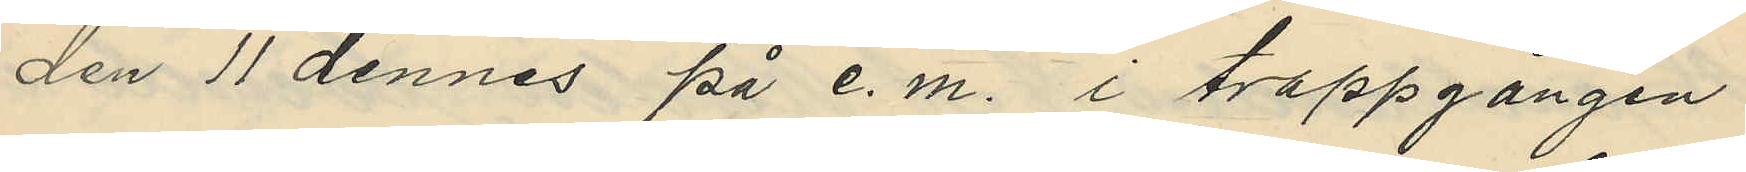den 11 dennes på e. m. i trappgången
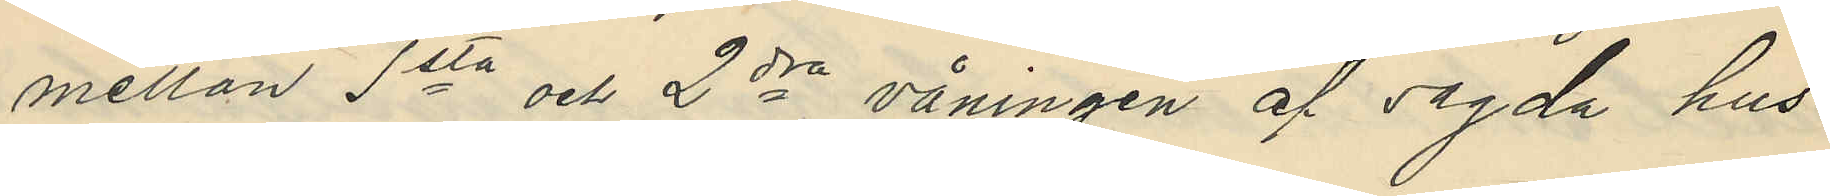mellan 1sta och 2dra våningen af sagda hus
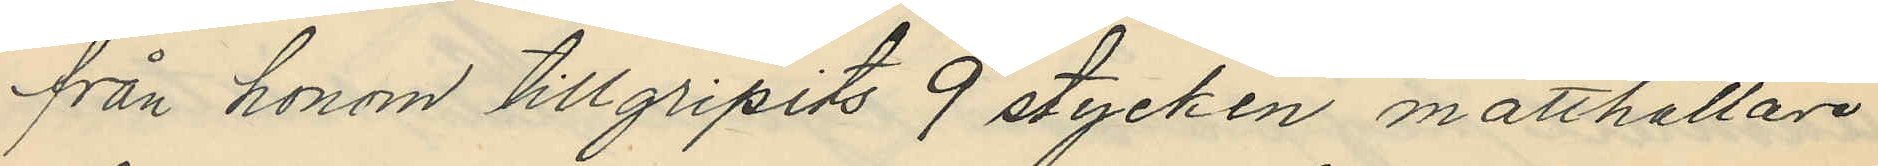från honom tillgripits 9 stycken matthållare
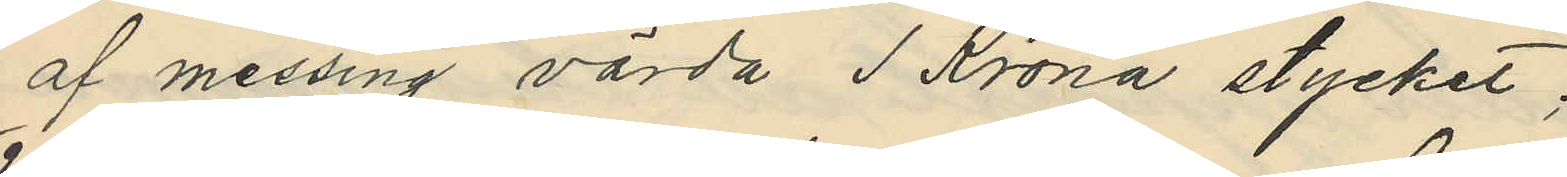af messing värda 1 Krona stycket;
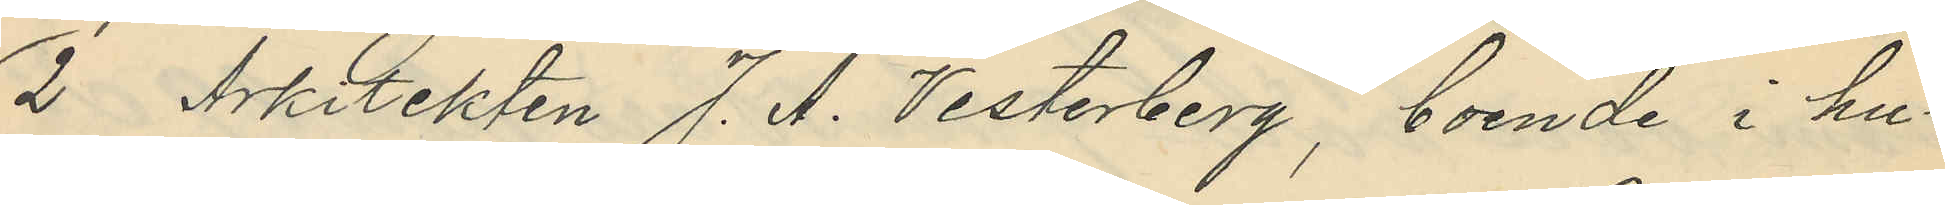2 Arkitekten J. A. Vesterberg, boende i hu¬
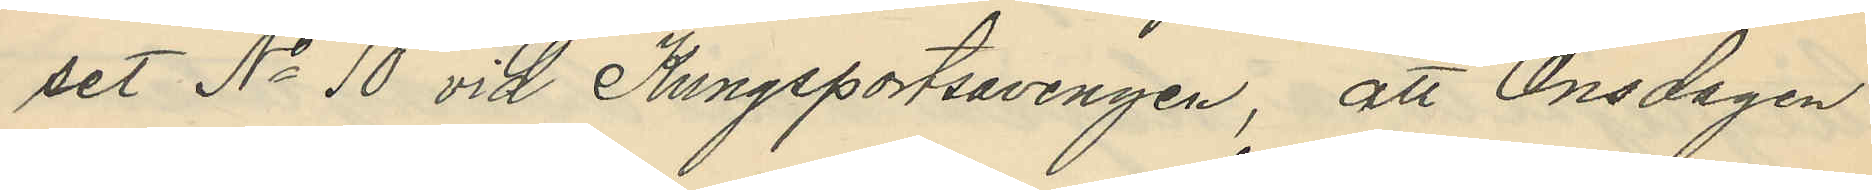set No 10 vid Kungsportsavenyen, att Onsdagen
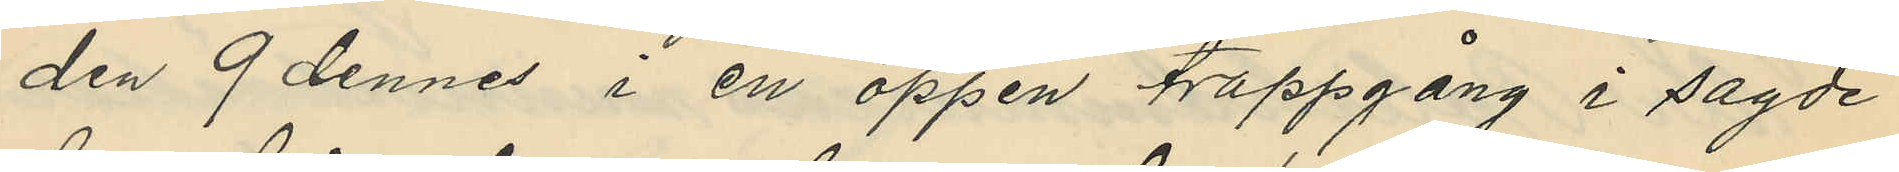den 9 dennes i en öppen trappgång i sagde
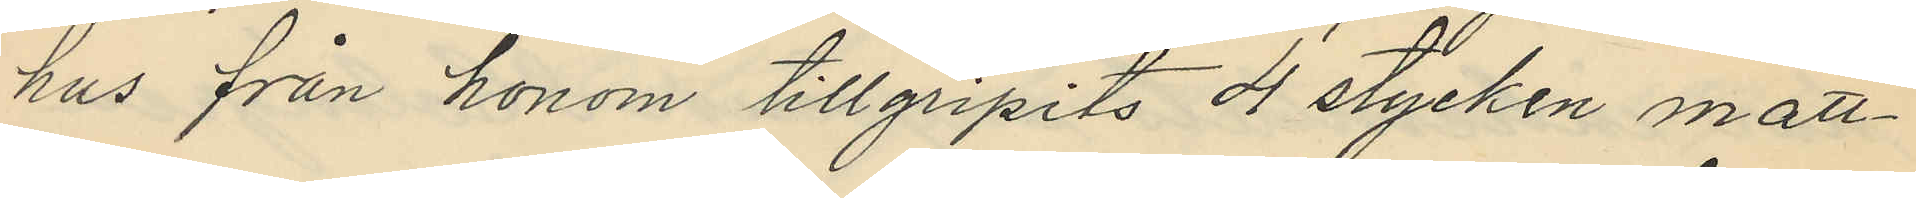hus från honom tillgripits 4 stycken matt¬
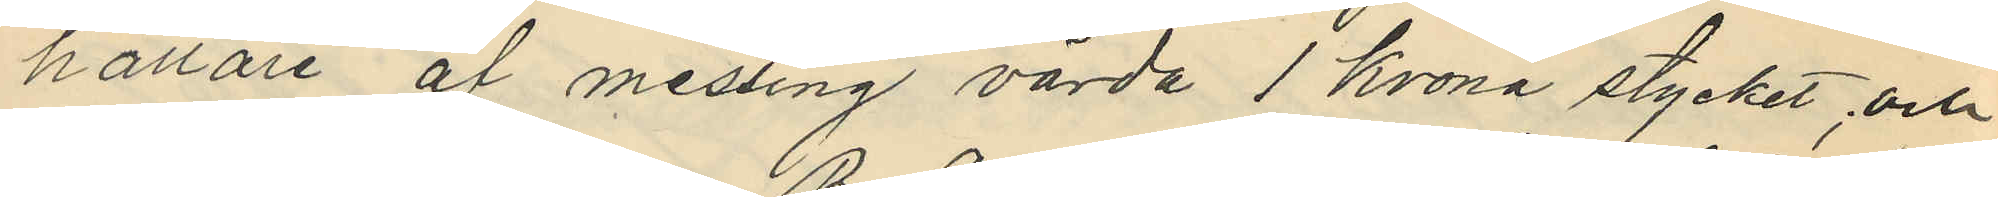hållare af messing värda 1 krona stycket, och
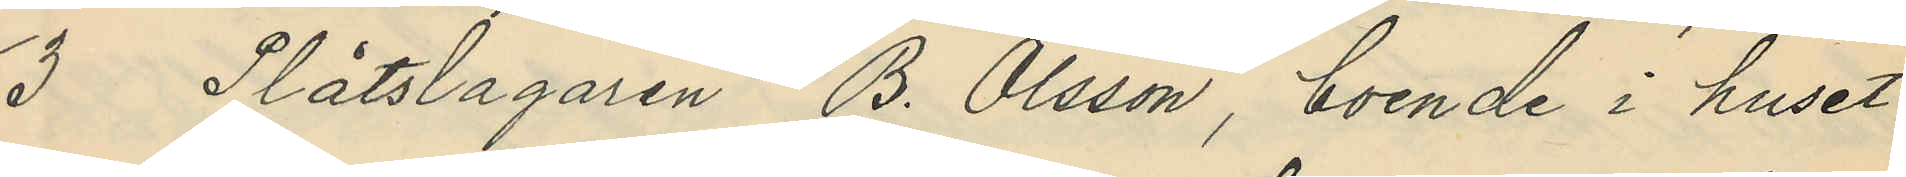3 Plåtslagaren B. Olsson, boende i huset
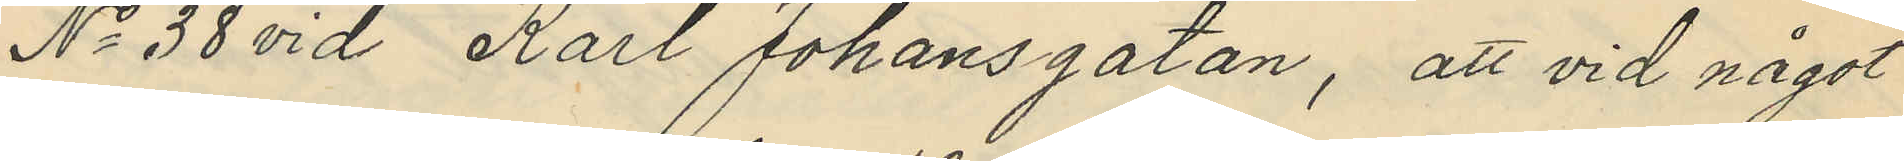No 38 vid Karl Johansgatan, att vid något
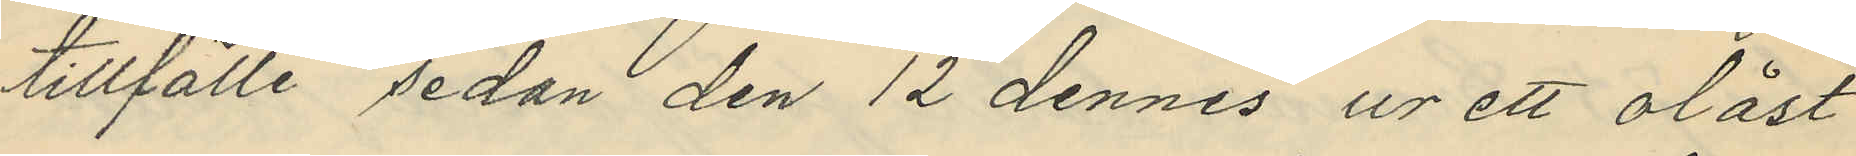tillfälle sedan den 12 dennes ur ett olåst
